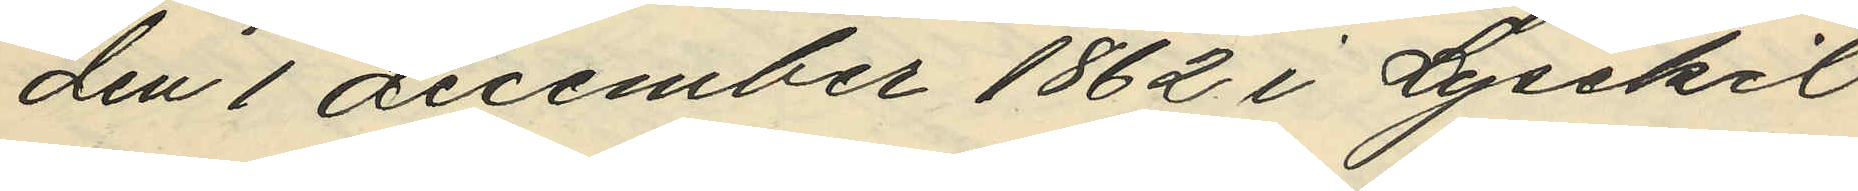den 1 december 1862 i Lysekil
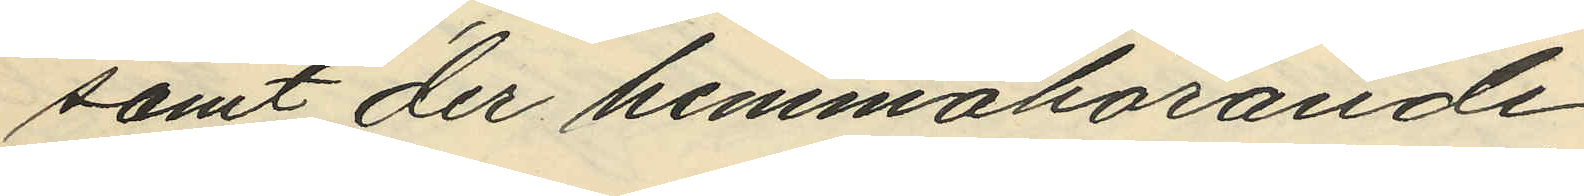samt der hemmahörande.
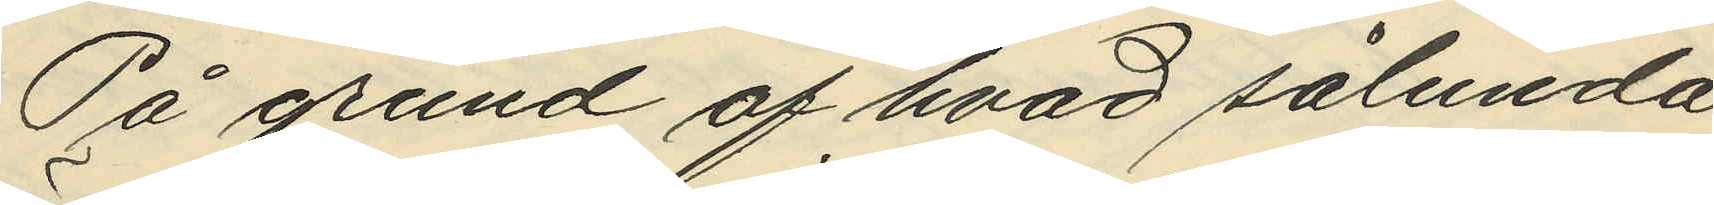På grund af hvad sålunda
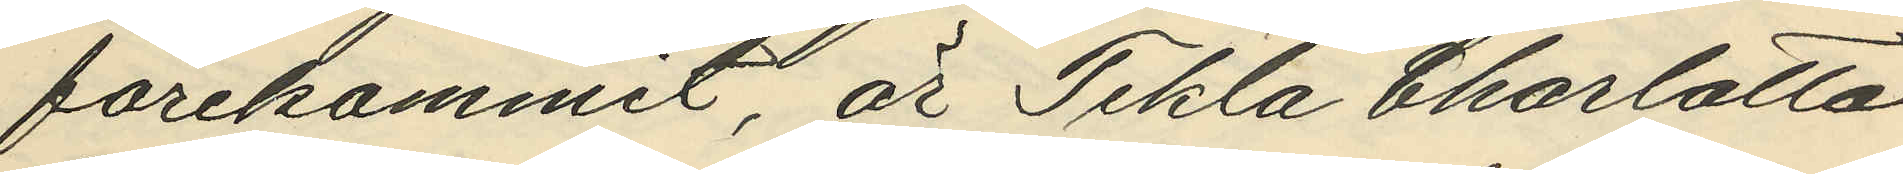förekommit, är Tekla Charlotta
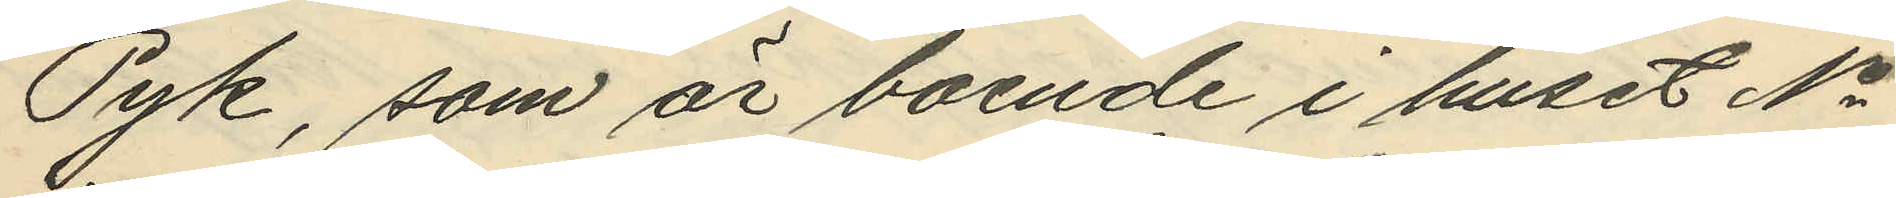Pyk, som är boende i huset No
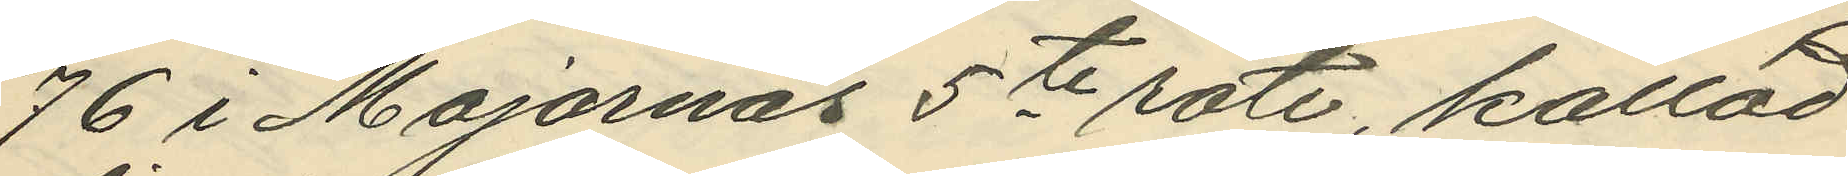76 i Majornas 5te rote, kallad
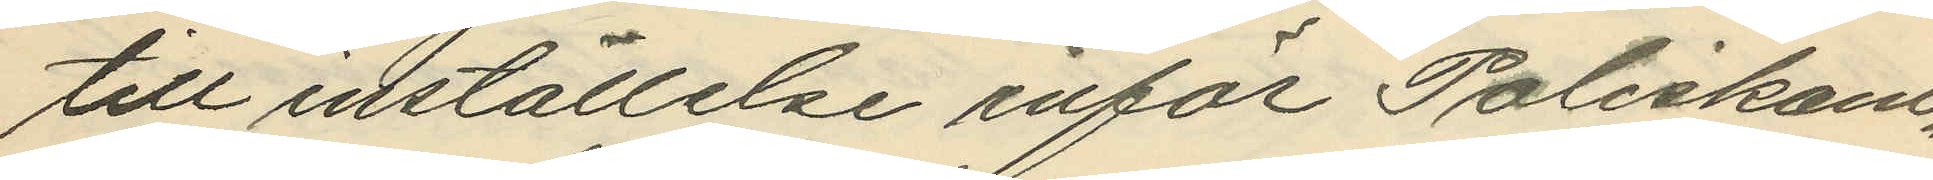till inställelse inför Poliskam¬
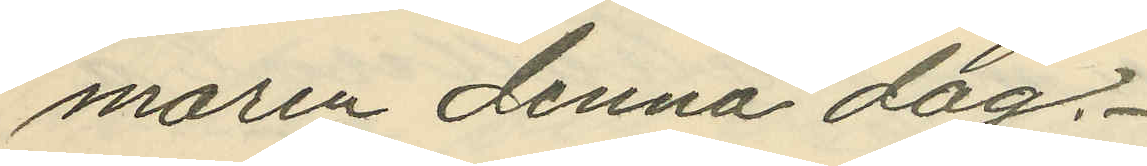maren denna dag.
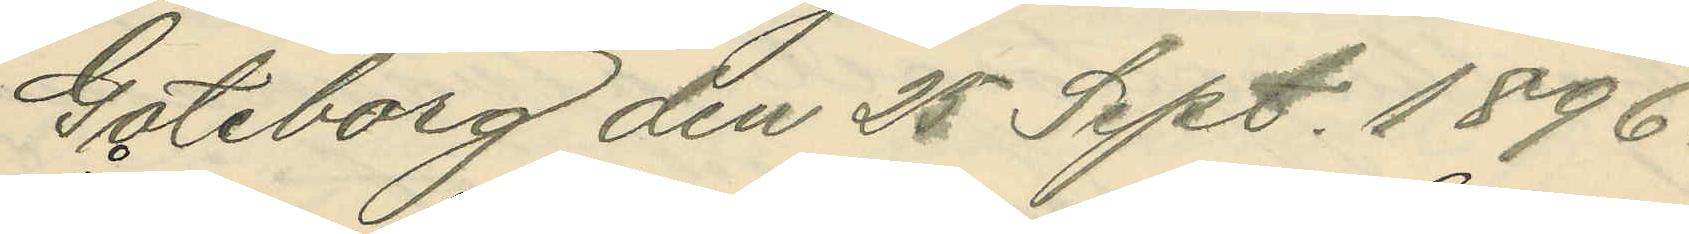Göteborg den 25 Sept. 1896.
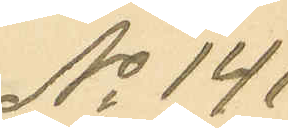No 141.
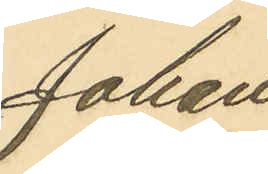Johan
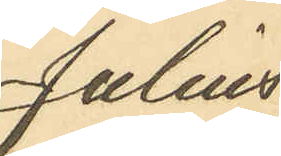Julius
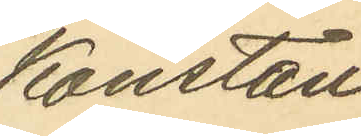Konstan¬
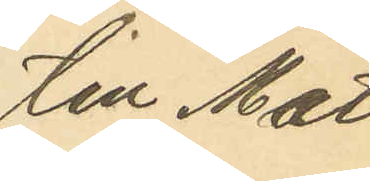tin Mat¬
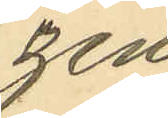zén
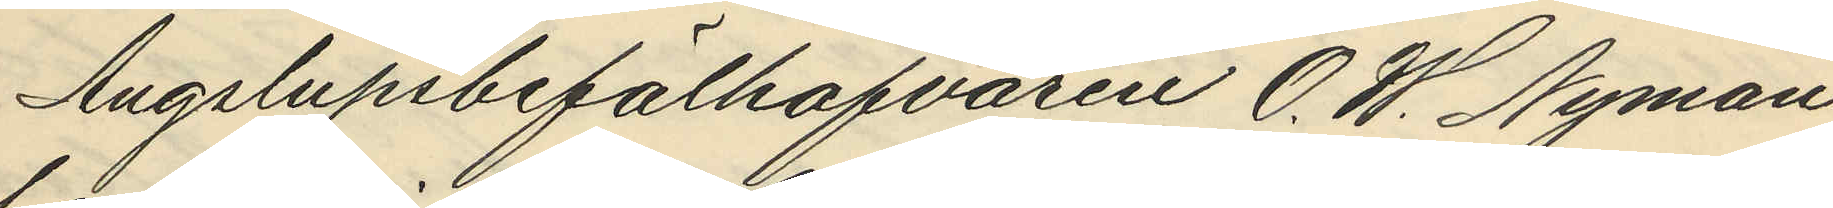Ångslupsbefälhafvaren O. W. Nyman
